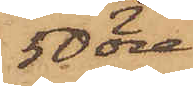50 öre,
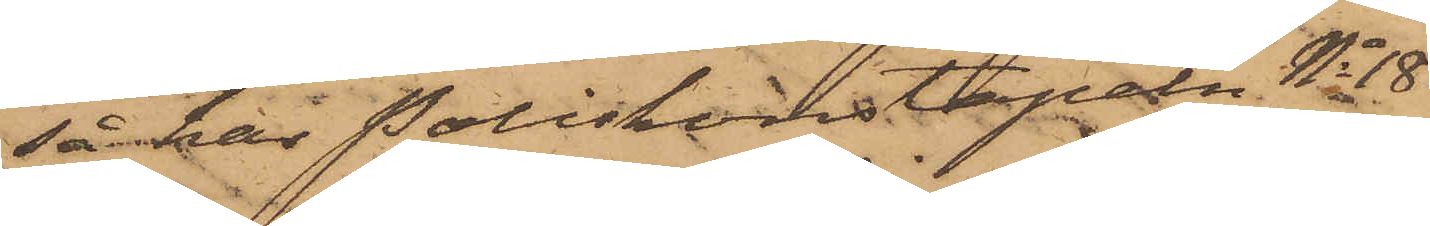så har Poliskonstapeln No 18
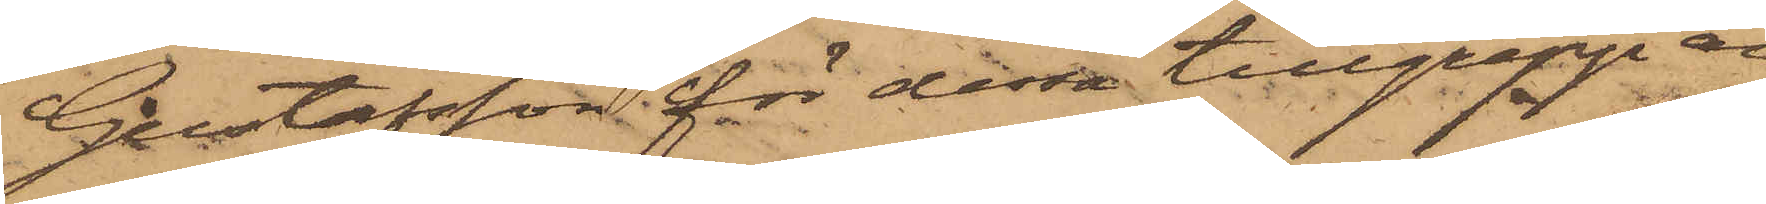Gustafsson för dessa tillgrepp an¬
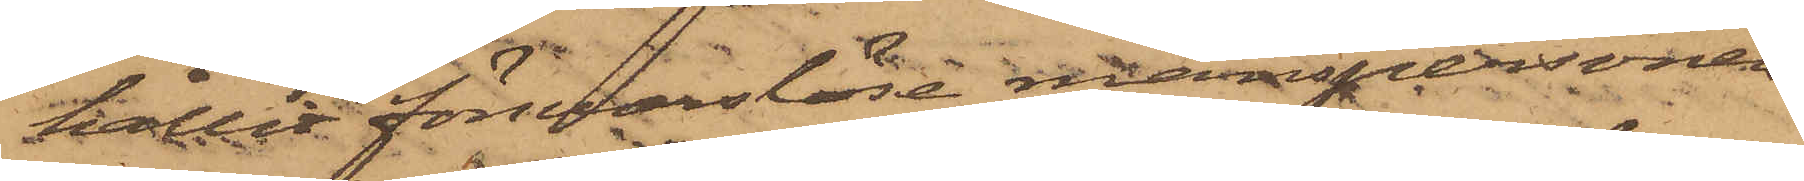hållit försvarslöse manspersonen
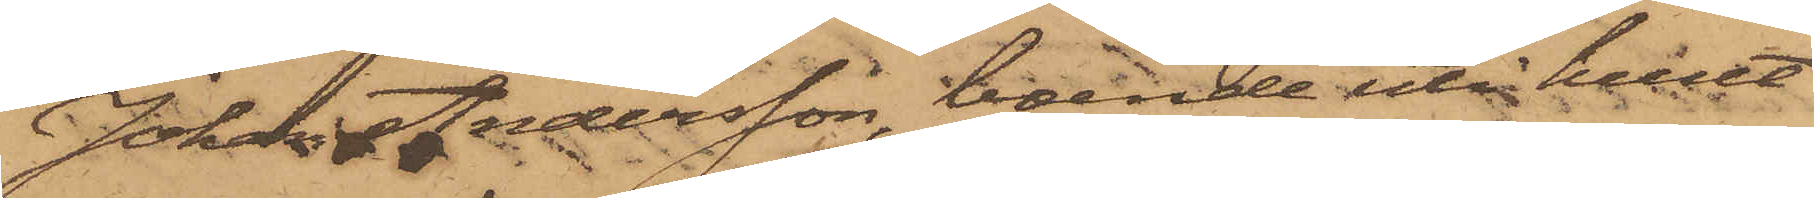Johan Andersson, boende uti huset
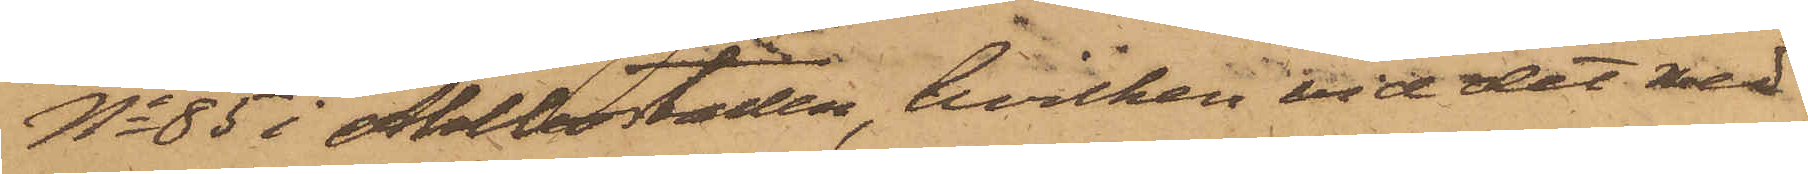No 85 i Ahlbostaden, hvilken vid det med
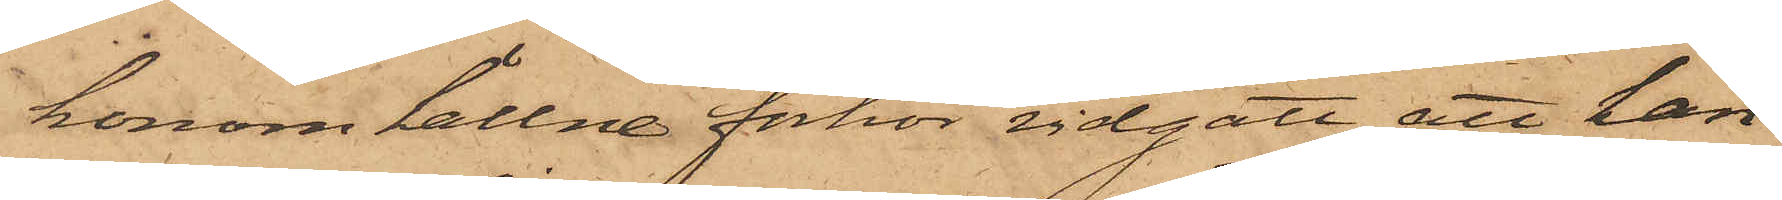honom hållne förhör vidgått att han
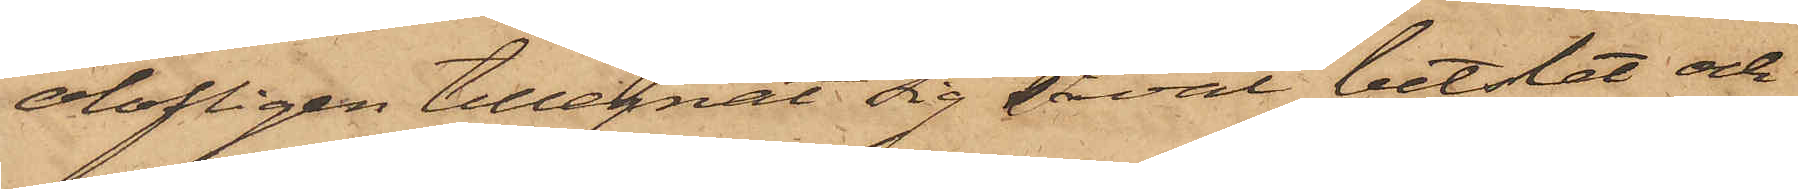olofligen tillegnat sig såväl betslet och
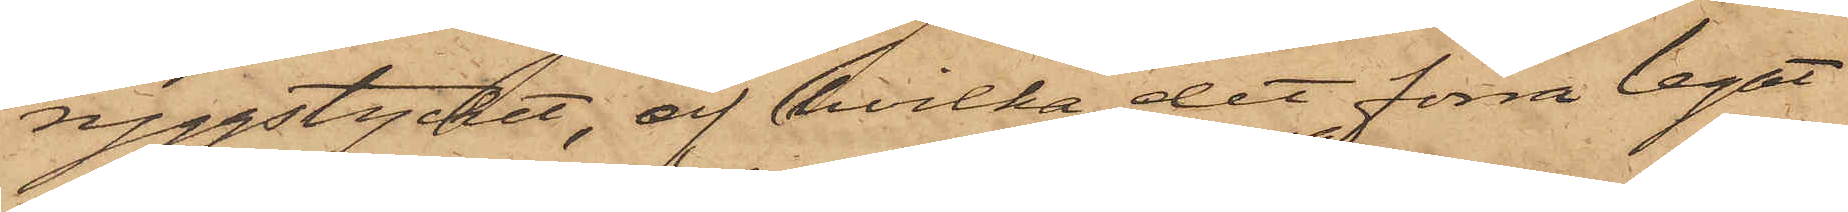ryggstycket, af hvilka det förra legat
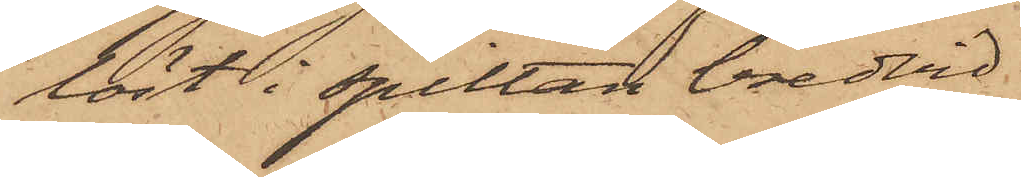löst i spiltan bredvid
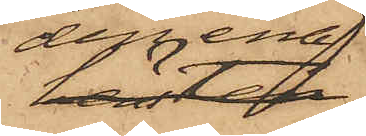den ena,
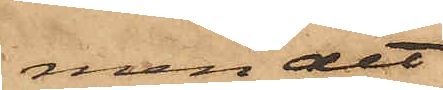men det
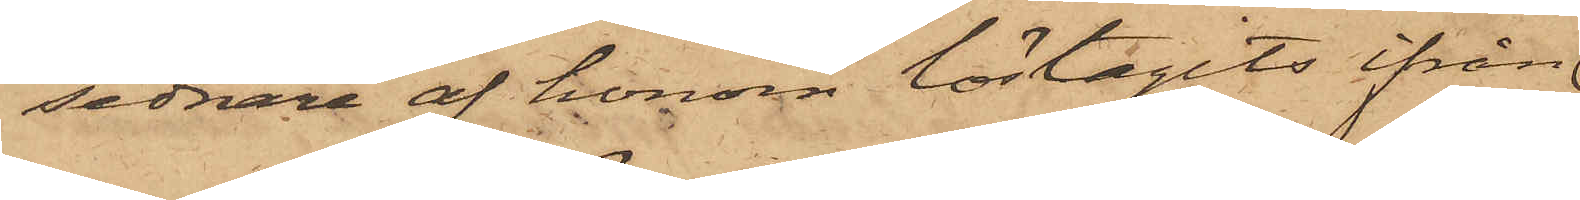sednare af honom löstagits ifrån
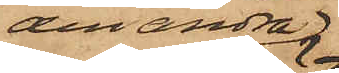den andra
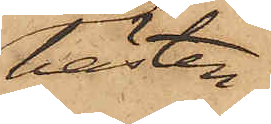hästen.
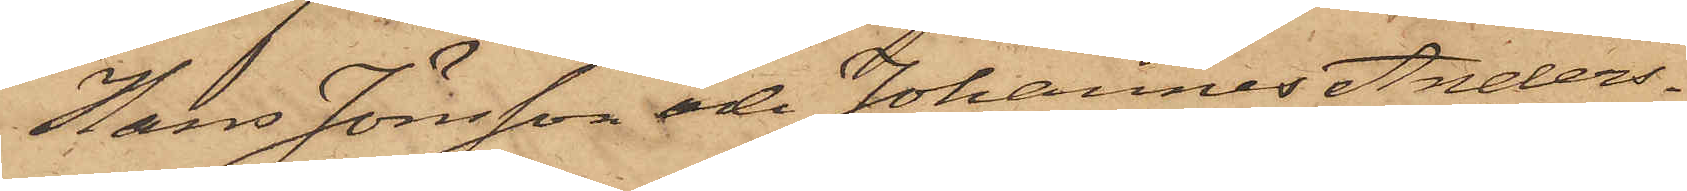Hans Jönsson och Johannes Anders¬
